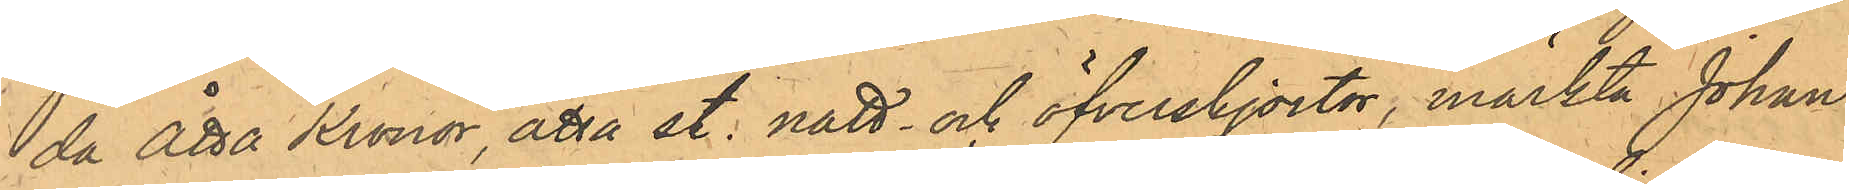da Åtta Kronor, åtta st. natt- och öfverskjortor, märkta Johan
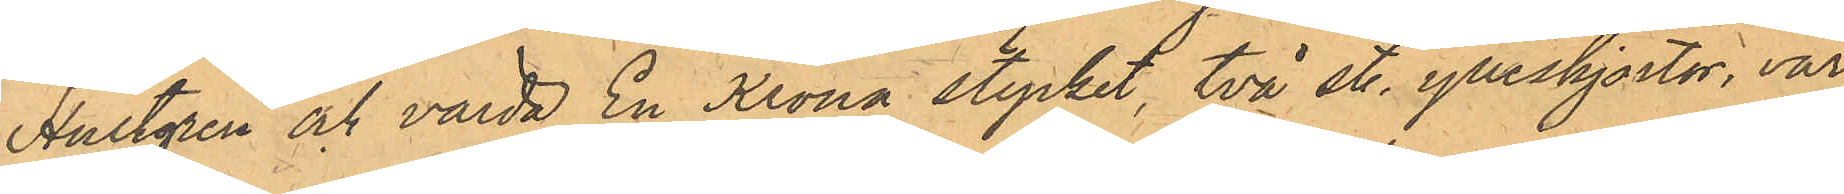Hultgren och värda En Krona stycket, två st. ylleskjortor, vär¬
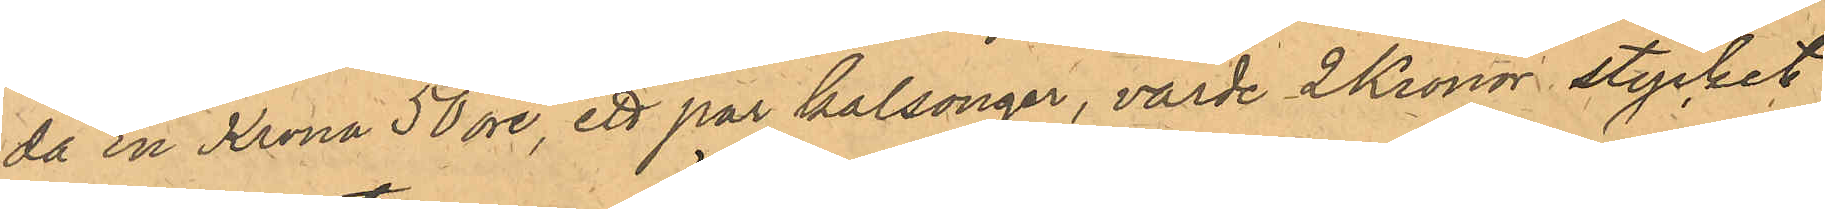da En Krona 50 öre, ett par kalsonger, värde 2 Kronor stycket,
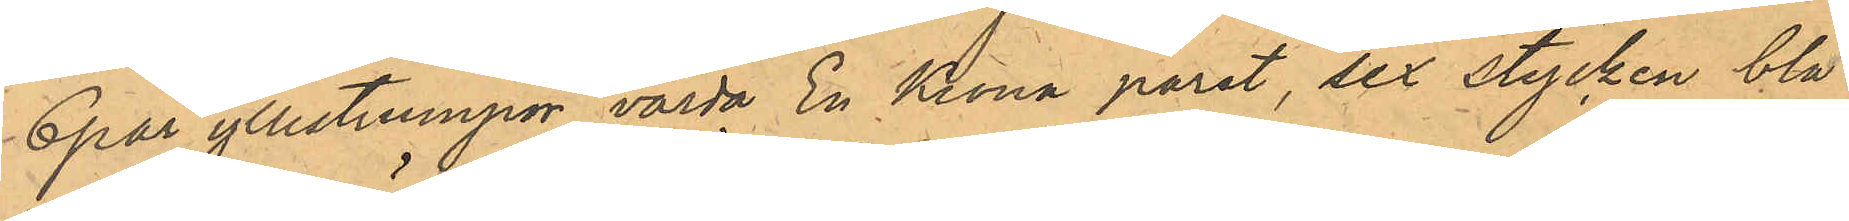6 par yllestrumpor, värda En Krona paret, sex stycken blå
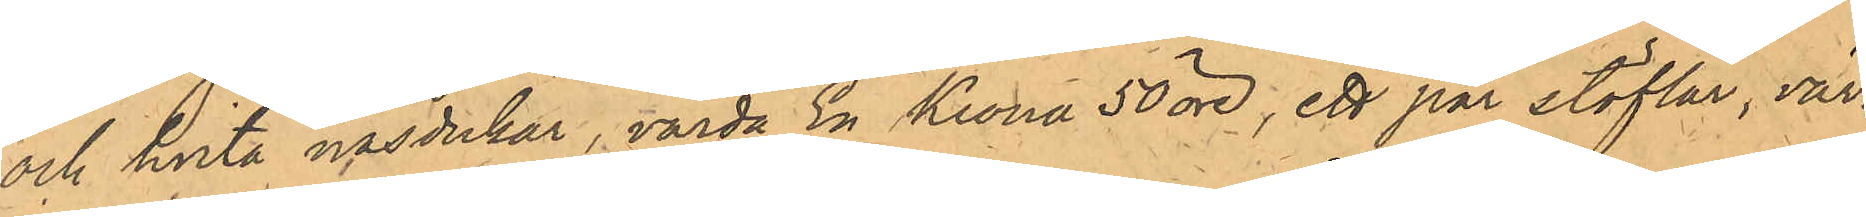och hvita näsdukar, värda En Krona 50 öre, ett par stöflar, vär¬
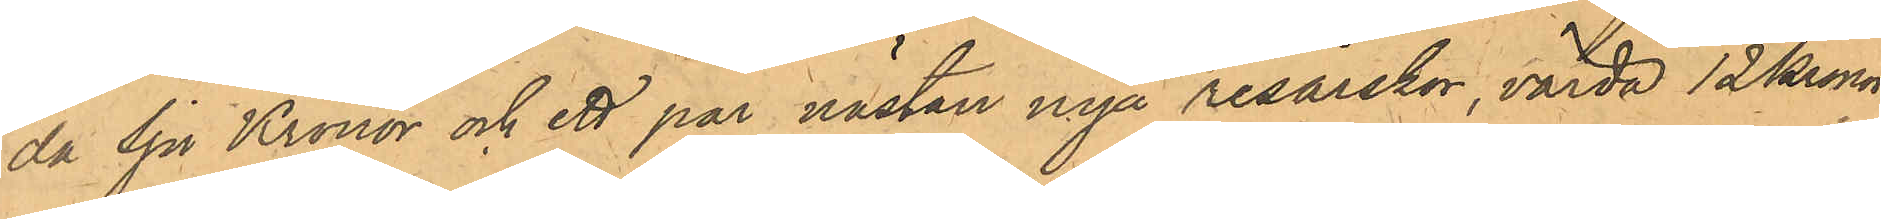da Sju Kronor och ett par nästan nya resårskor, värda 12 kronor.
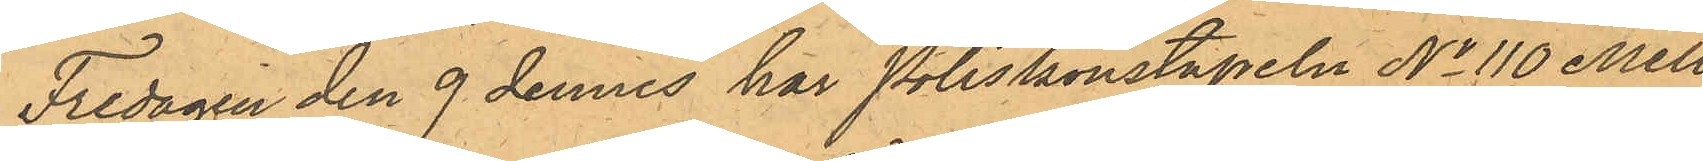Fredagen den 9 dennes har Poliskonstapeln No 110 Mell¬
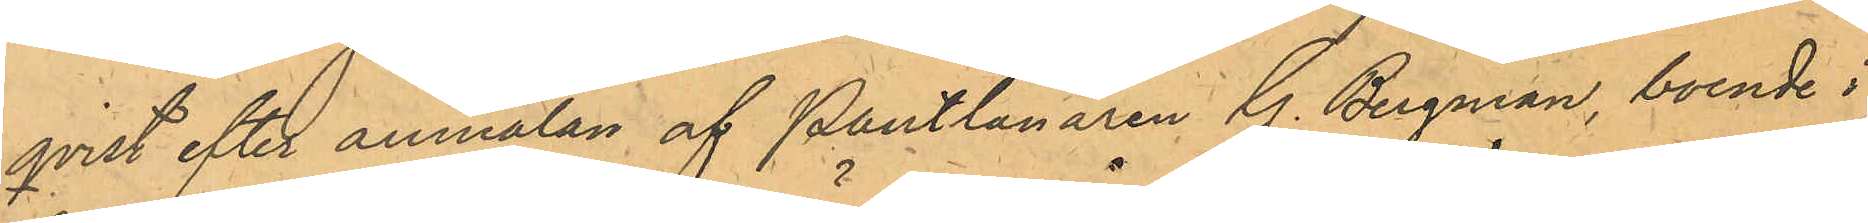qvist efter anmälan af Pantlånaren G. Bergman, boende i
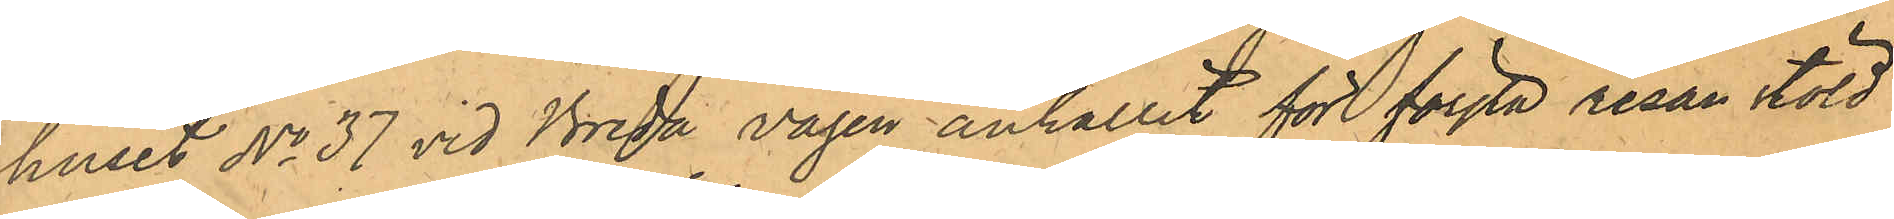huset No 37 vid Breda Vägen anhållit för första resan stöld
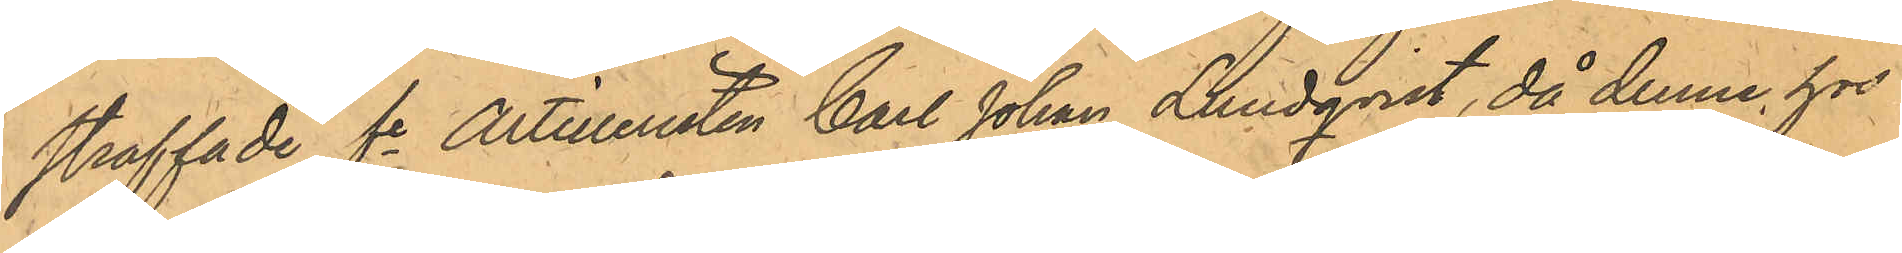straffade fe Artilleristen Carl Johan Lundqvist, då denne hos
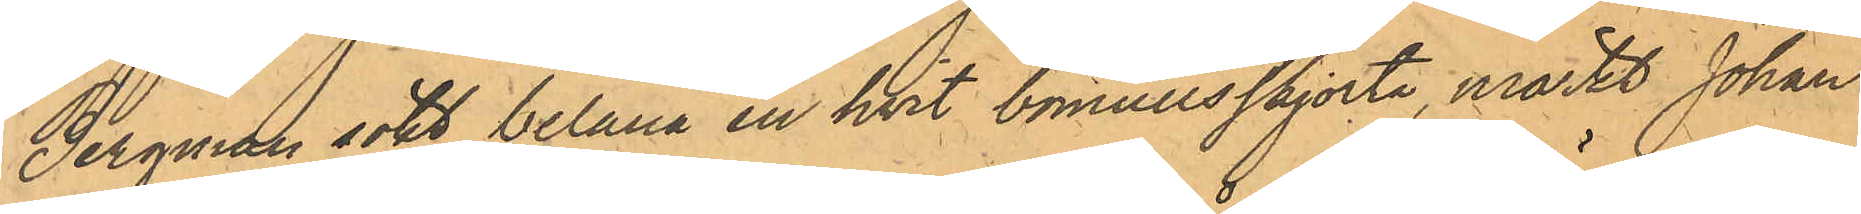Bergman sökt belåna en hvit bomullskjorta, märkt Johan
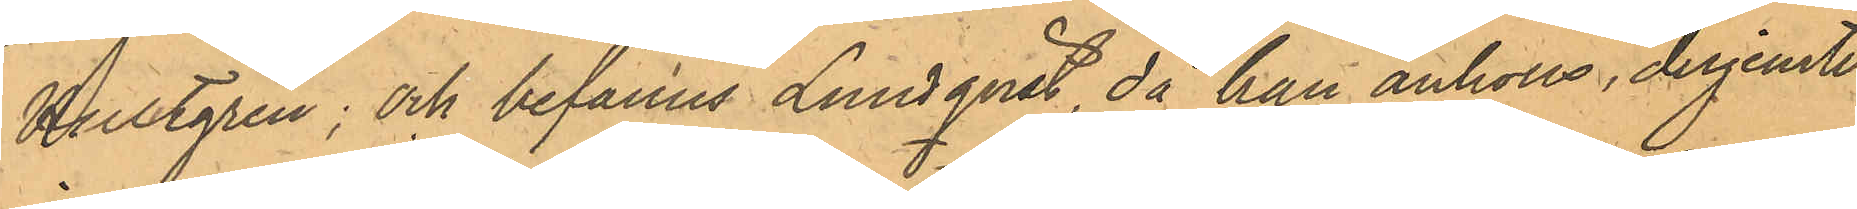Hultgren; och befanns Lundqvist, då han anhölls, derjemte
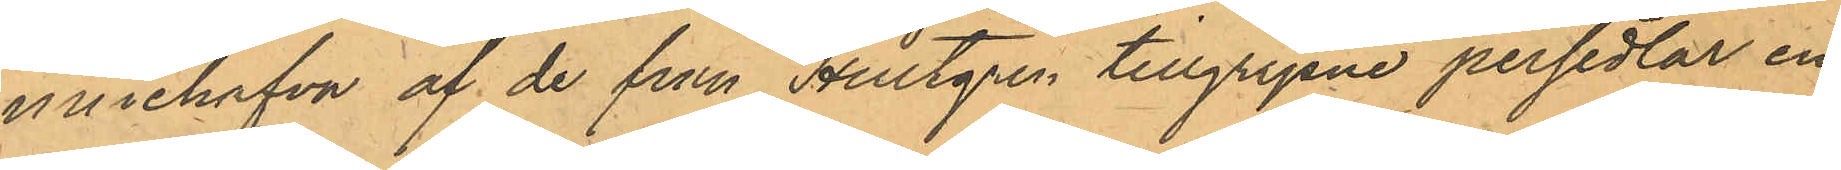innehafva af de från Hultgren tillgripne persedlar en
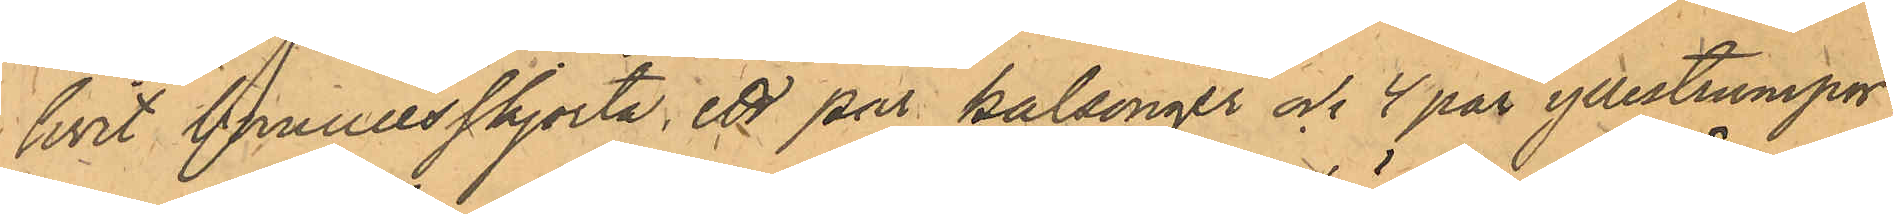hvit bomullsskjorta, ett par kalsonger och 4 par yllestrumpor,
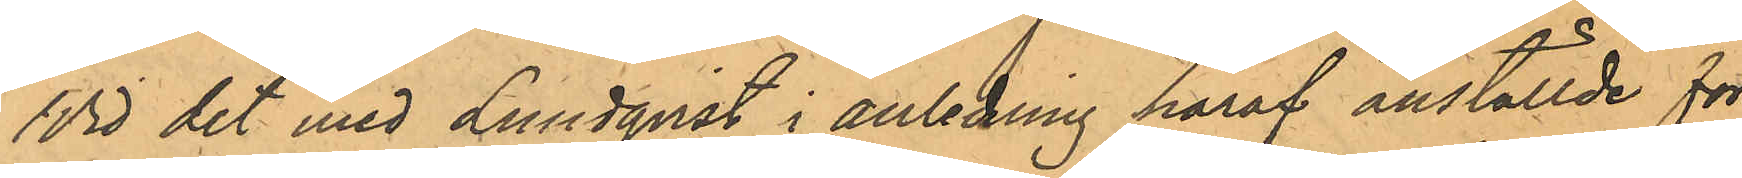Vid det med Lundqvist i anledning häraf anställde för¬
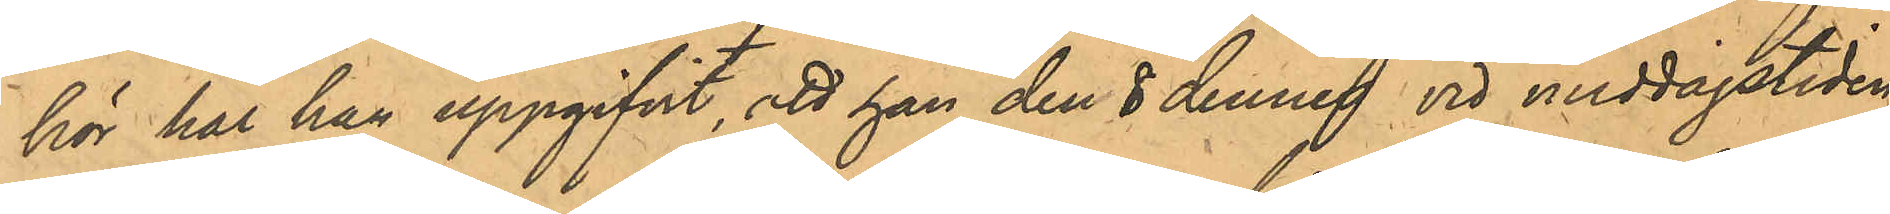hör har han uppgifvit, att han den 8 dennes vid middagstiden
